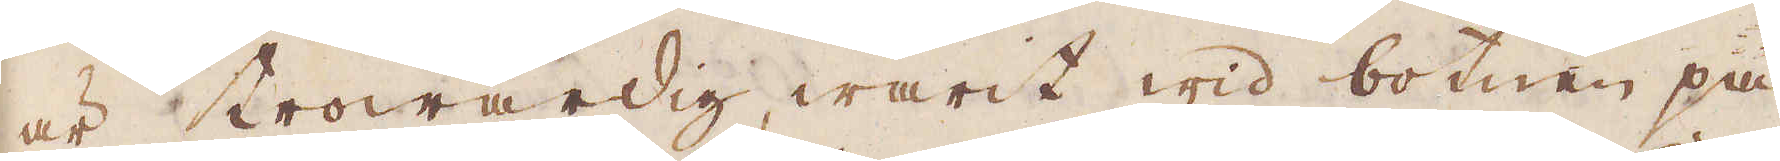är trowärdig, warit wid botnen på
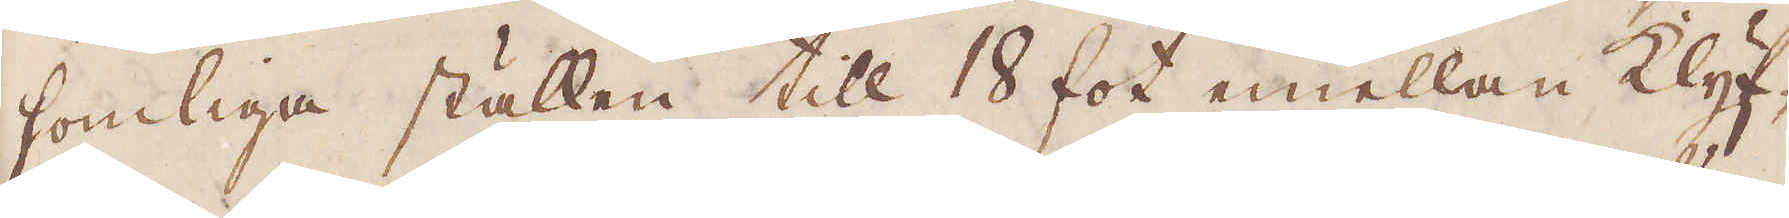somliga ställen till 18 fot emellan klyf-
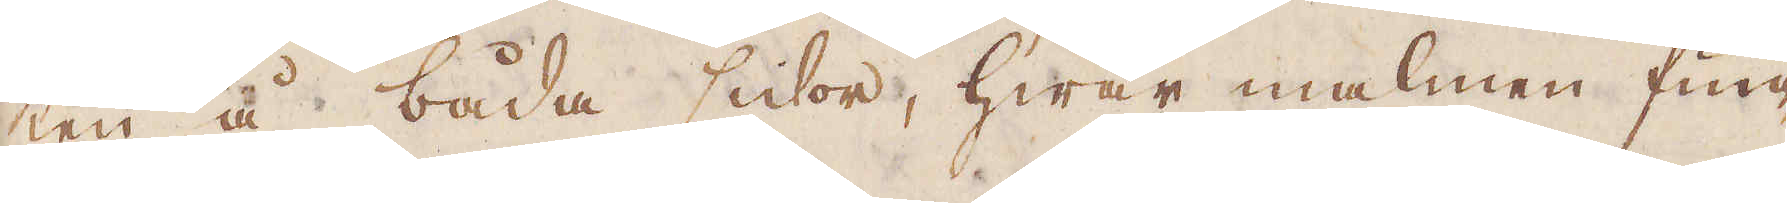ten å båda sidor, hwar malmen fun-
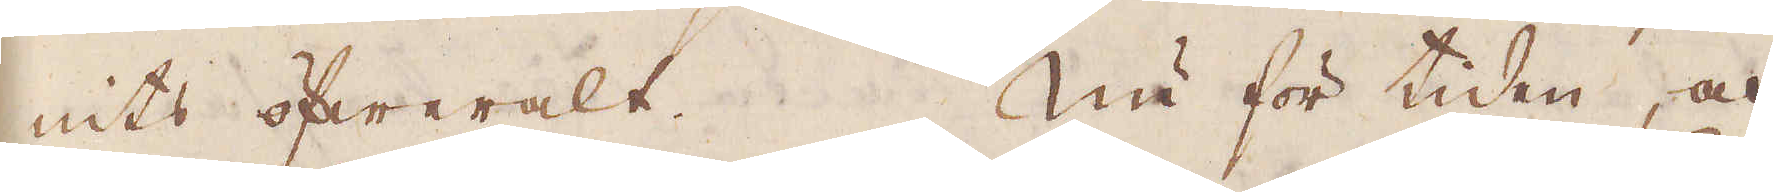nits öfweralt. Nu för tiden, och
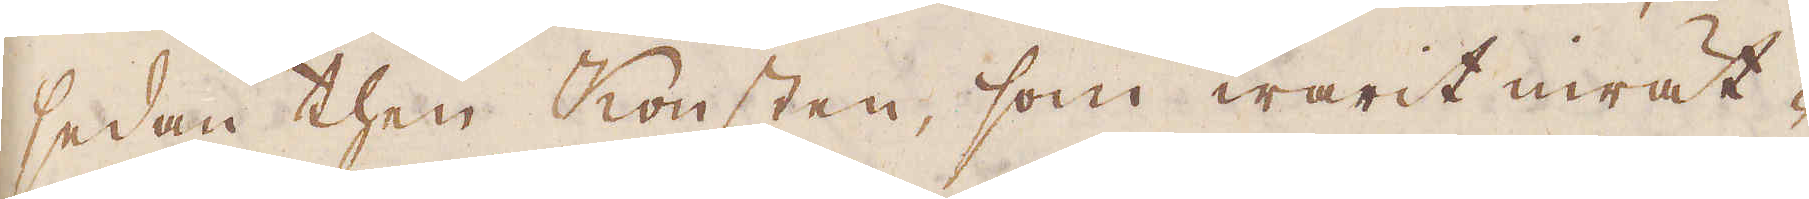sedan then Konsten, som warit inrät-
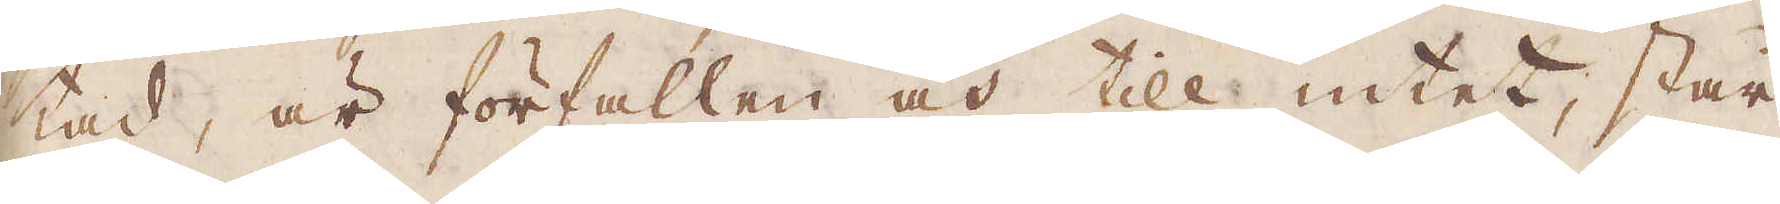tad, är förfallen och till intet, står
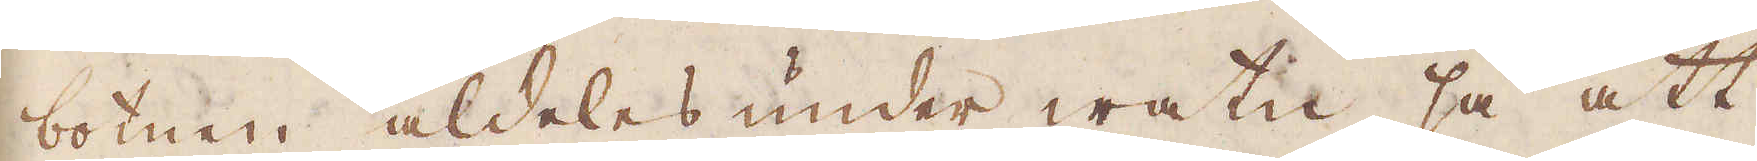botnen aldeles under watn, så att
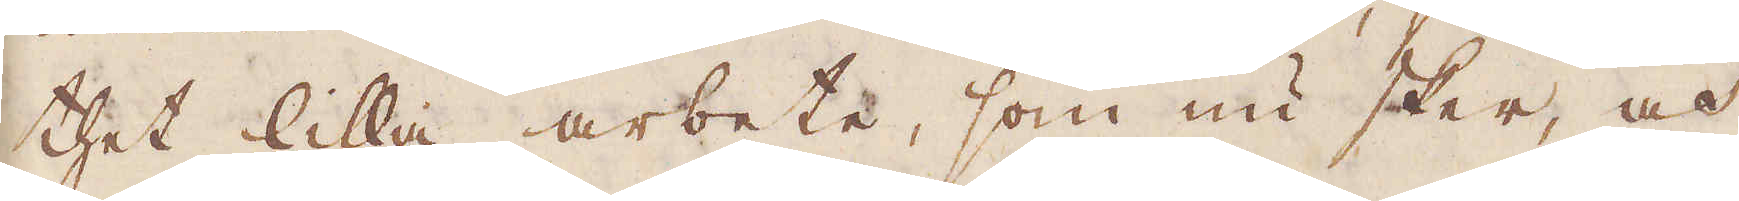thet lilla arbete, som nu sker, och
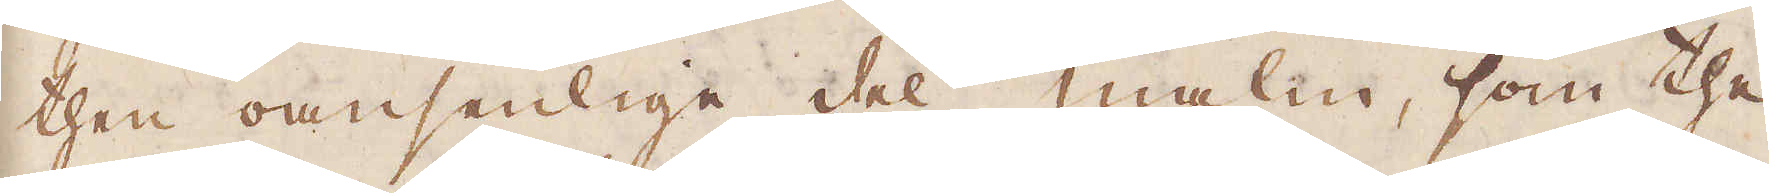then oansenlige del malm, som the
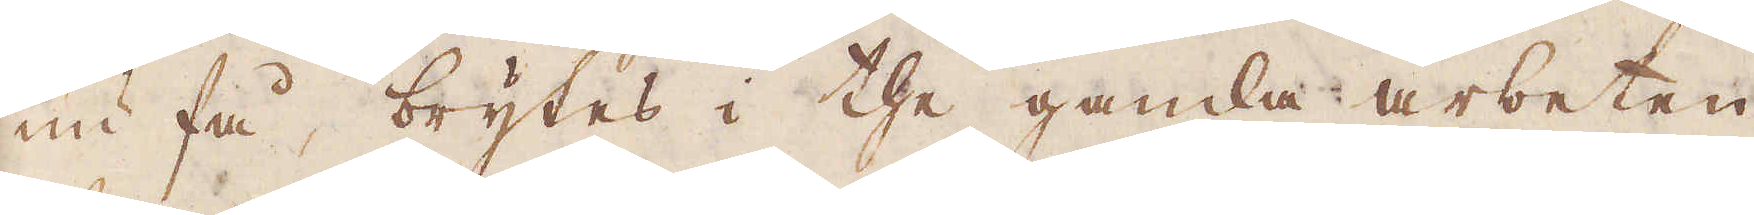nu få, brytes i the gamla arbeten
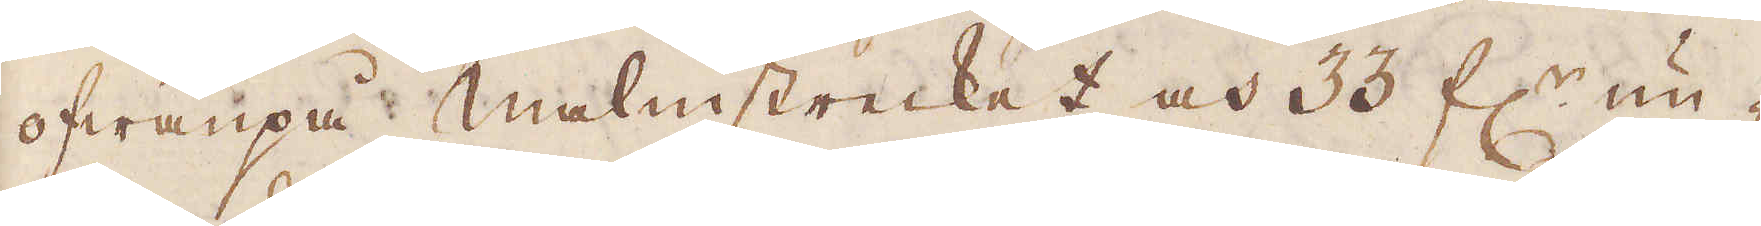ofwanpå malmstrecket och 33 fl:r un-
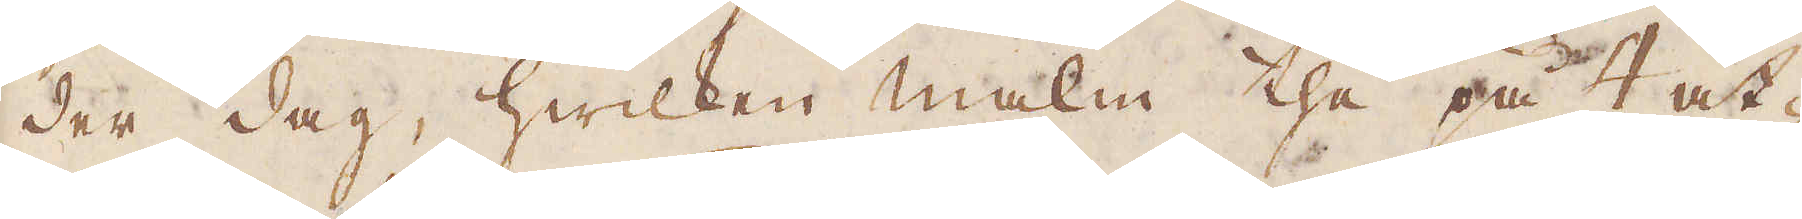der dag, hwilcken malm the på 4 åt-
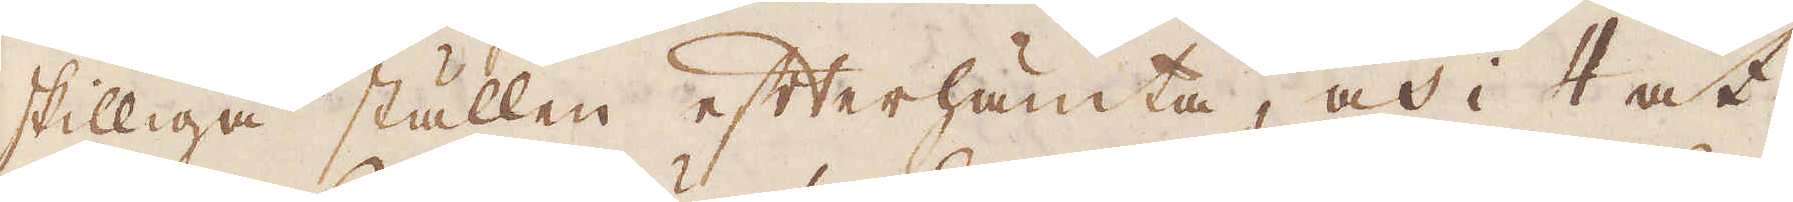skilliga ställen efterhämta, och i 4 åt-
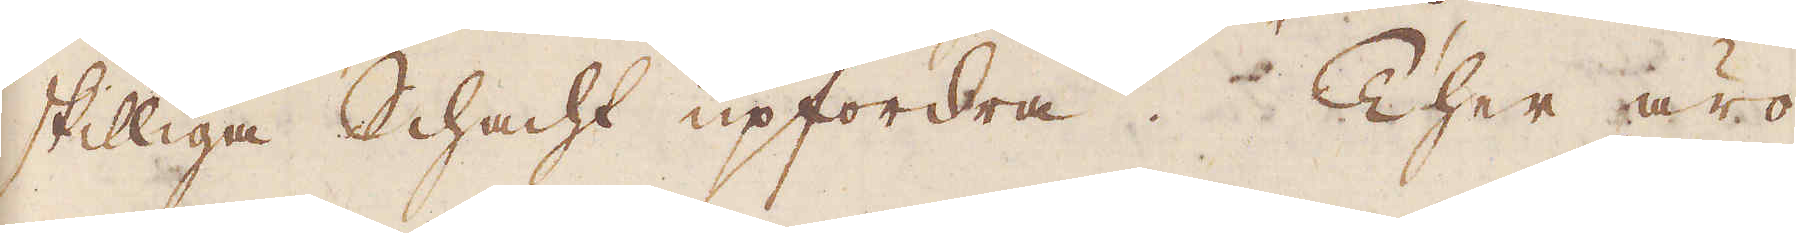skilliga Schacht upfordra. Ther äro
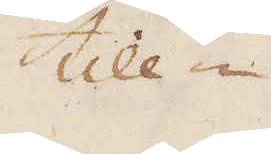till-
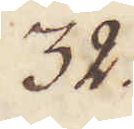32
